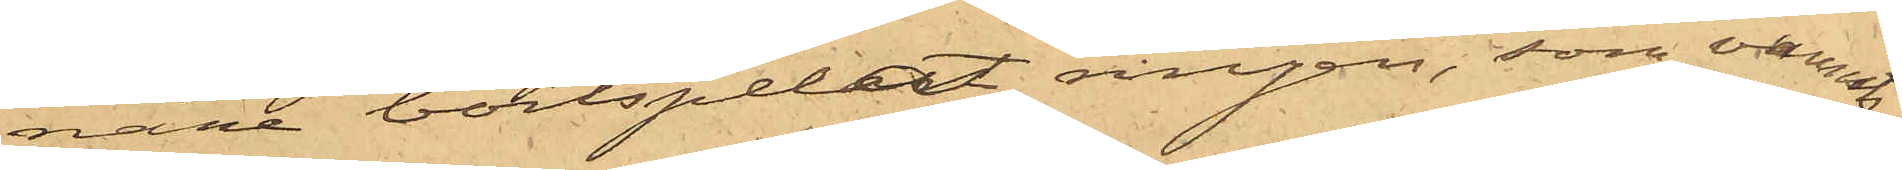nare bortspelat ringen, som vunnits
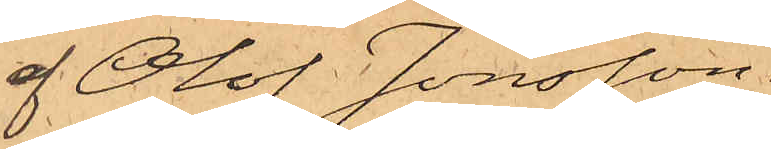af Olof Jonsson.
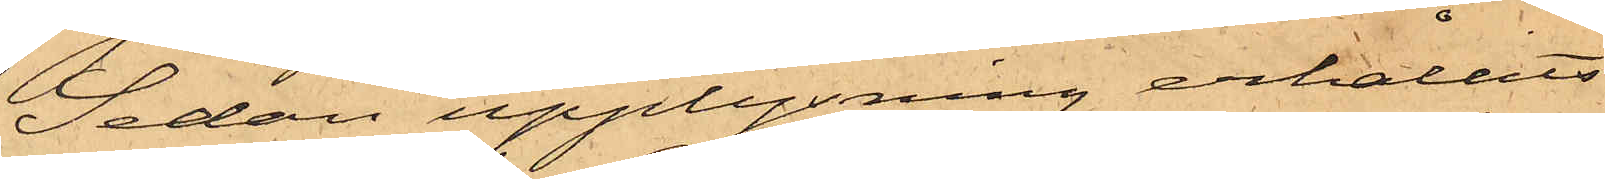Sedan upplysning erhållits
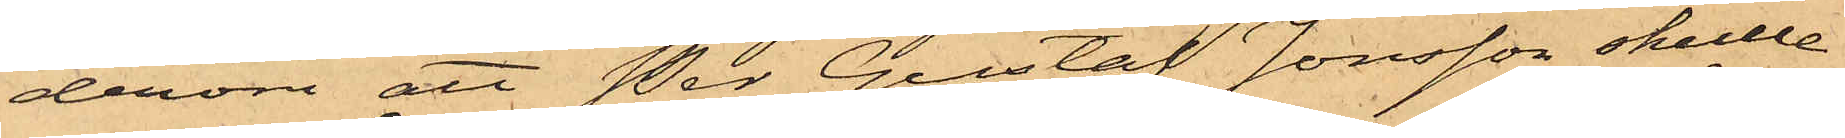derom att Per Gustaf Jonsson skulle
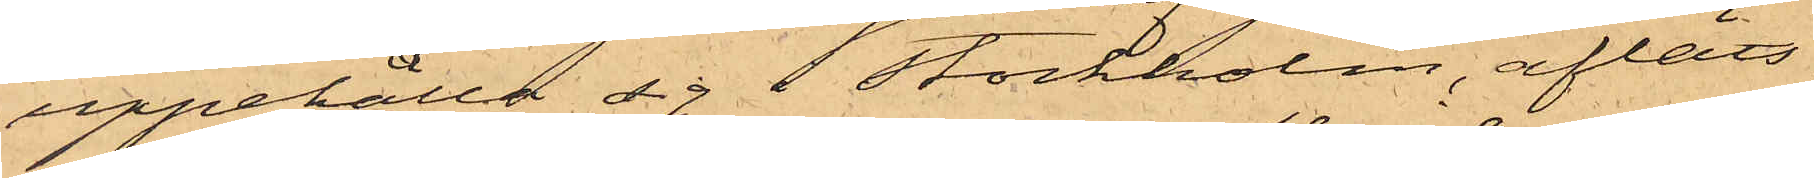uppehålla sig i Stockholm, afläts
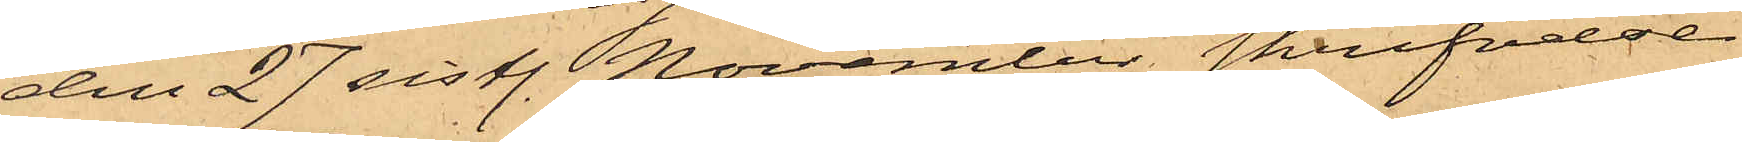den 27 sistl. November skrifvelse
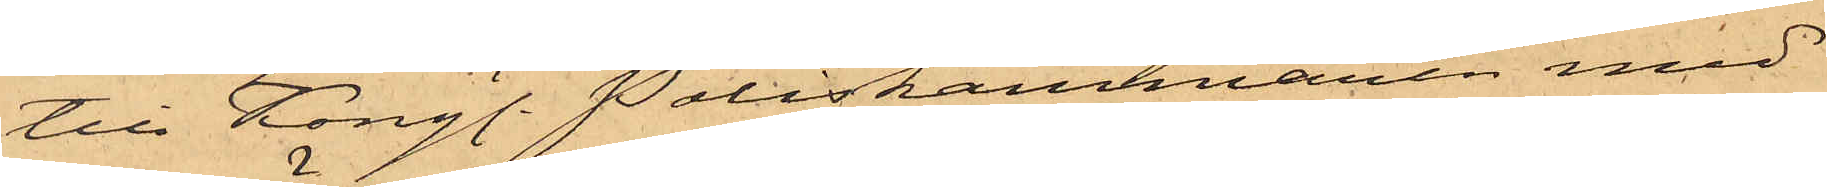till Kongl. Poliskammaren med
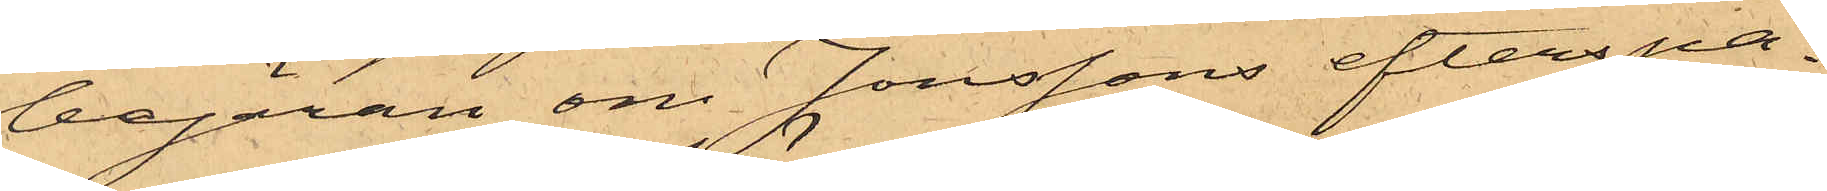begäran om Jonssons efterspa¬
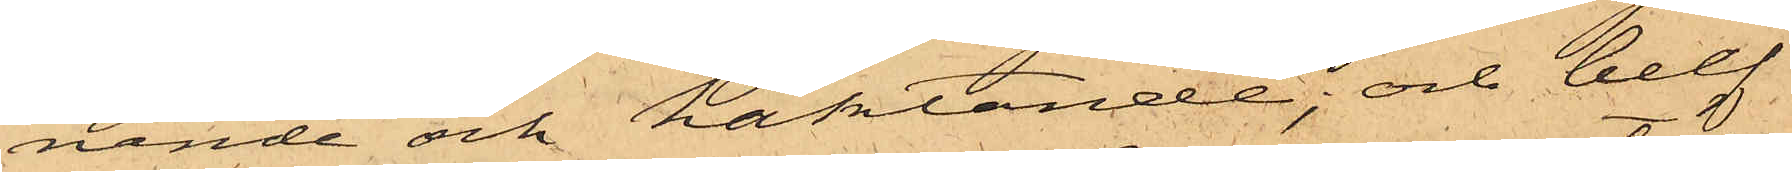nande och häktande; och blef
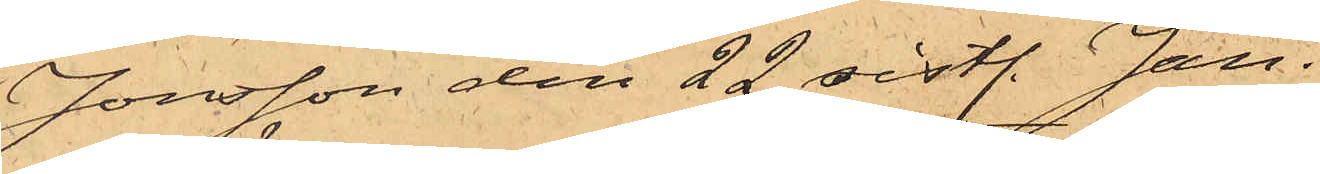Jonsson den 22 sistl. Jan.
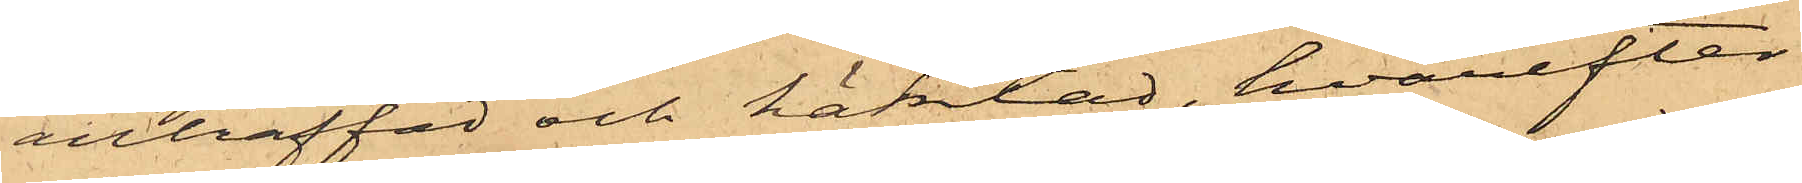anträffad och häktad, hvarefter
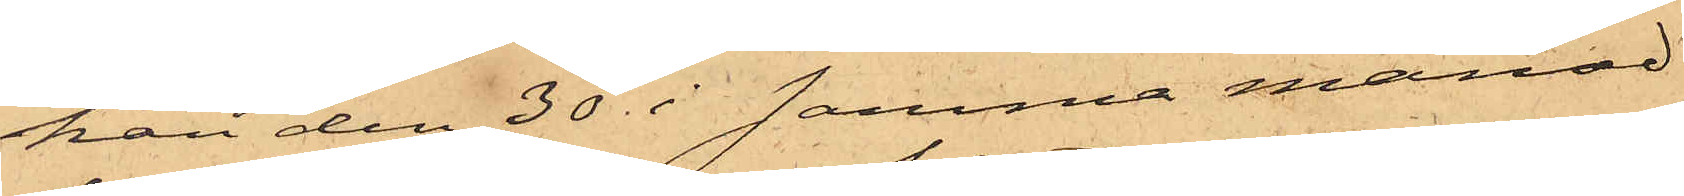han den 30 i samma månad
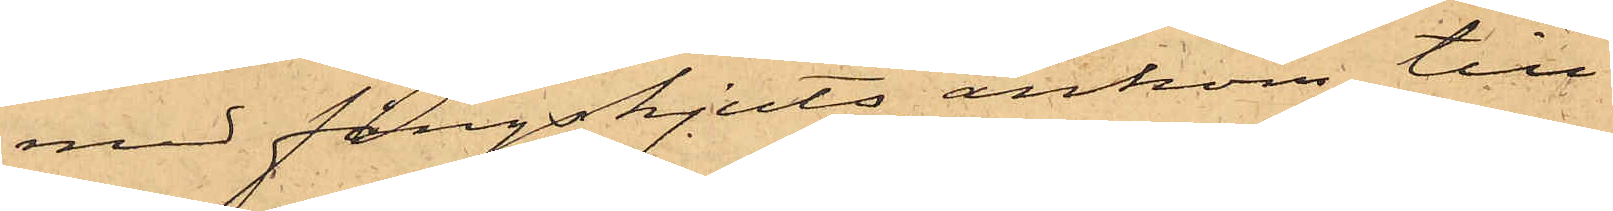med fångskjuts ankom till
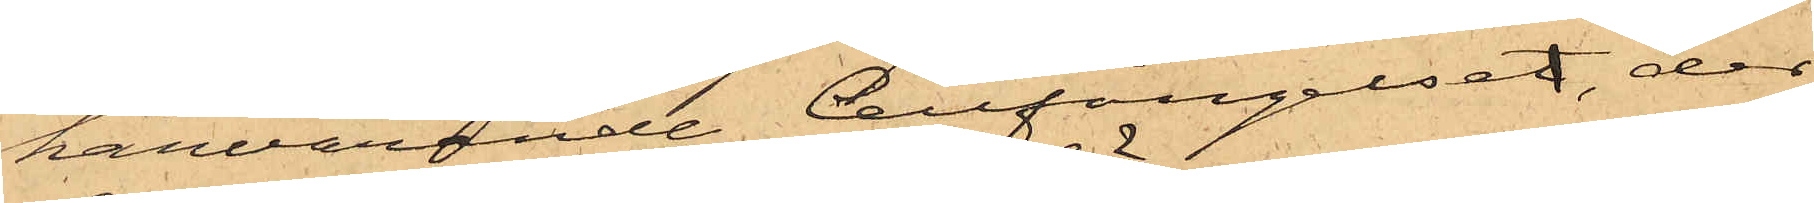härvarande Cellfängelset, der
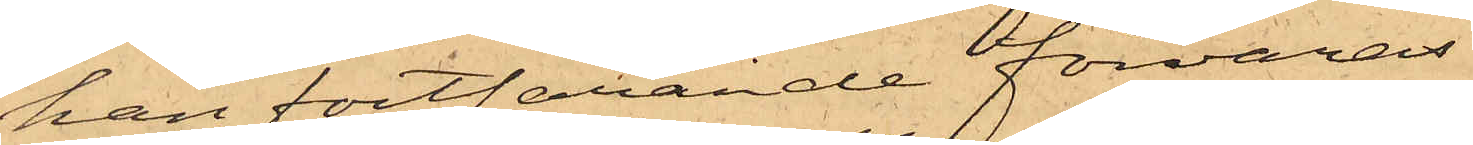han fortfarande förvaras.
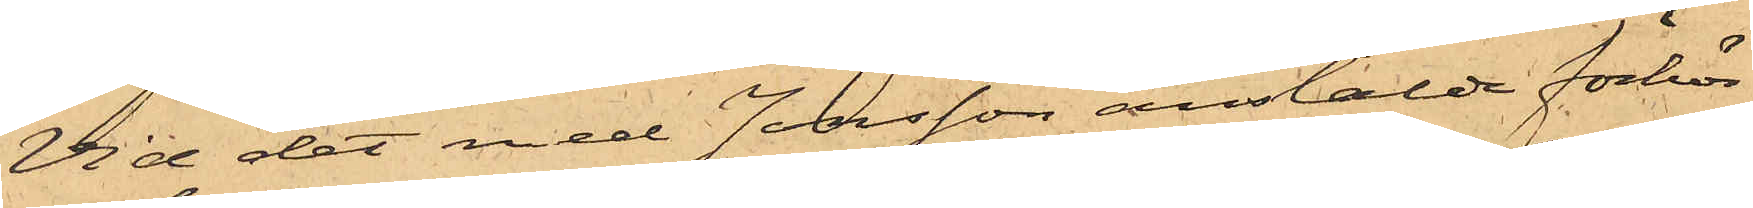Vid det med Jonsson anstälde förhör
